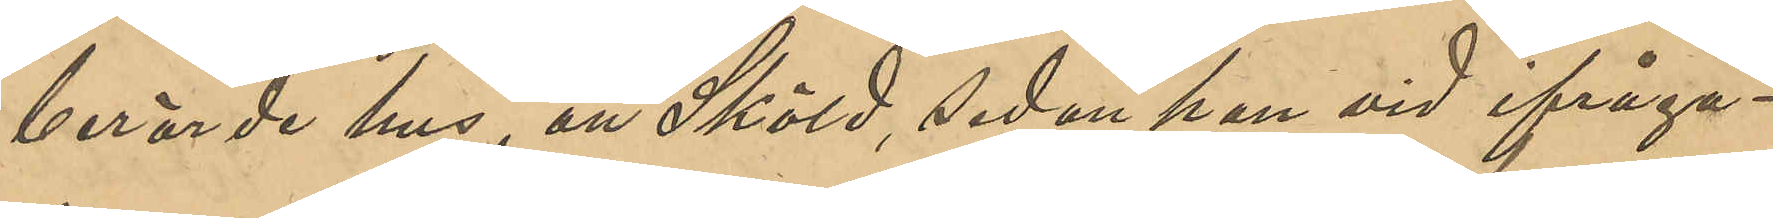berörde hus, att Sköld, sedan vid ifråga¬
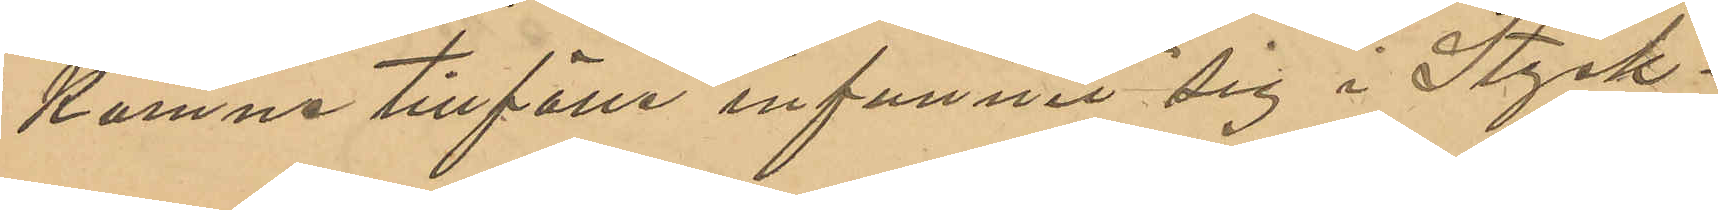komne tillfälle infunnit sig i Styck¬
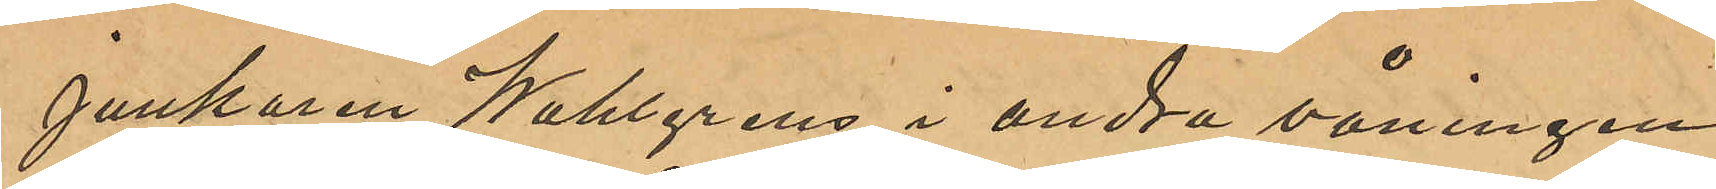junkaren Wahlgrens i andra våningen
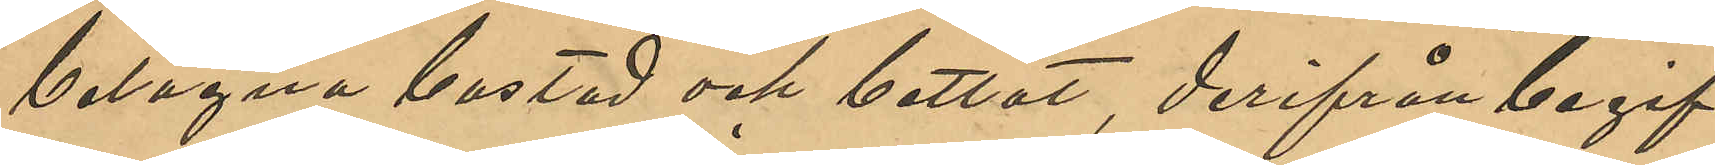belägna bostad och bettlat, derifrån begif¬
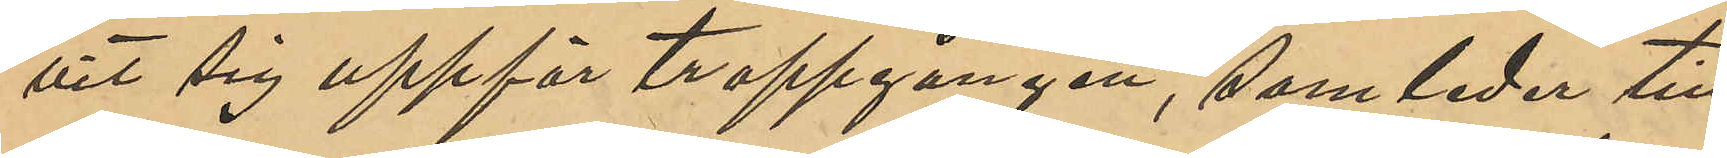vit sig uppför trappgången, som leder till
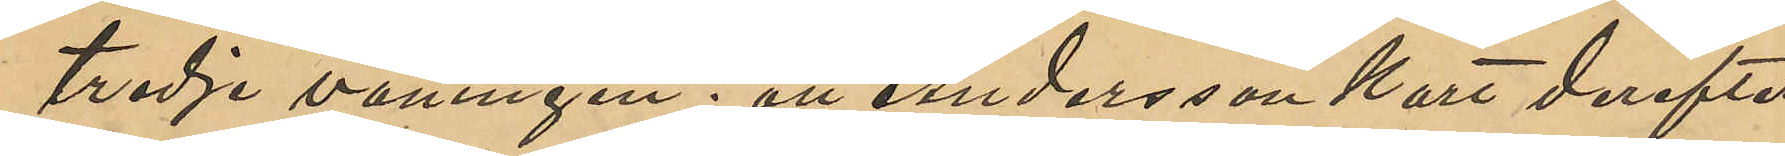tredje våningen; att Andersson kort derefter
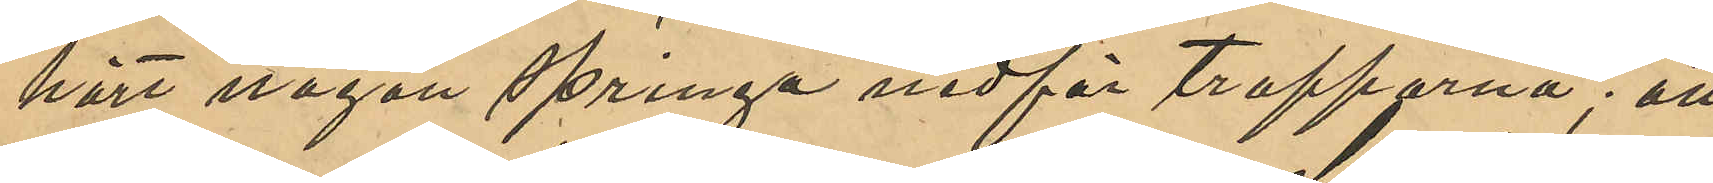hört någon springa nedför trapporna; att
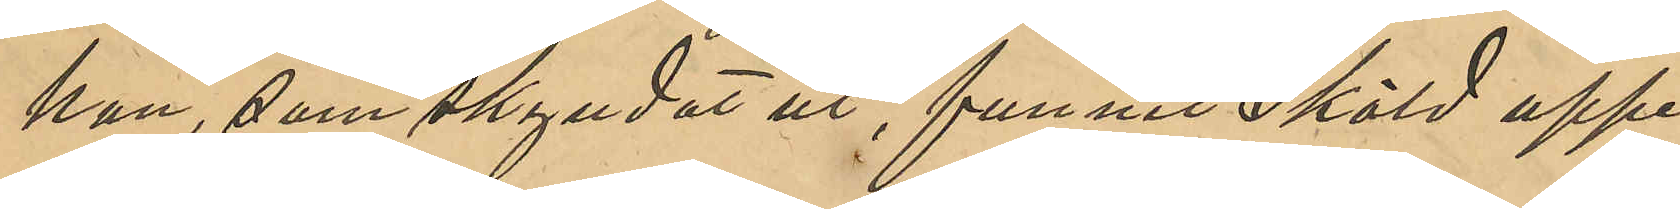hon, som skyndat ut, funnit Sköld uppe¬
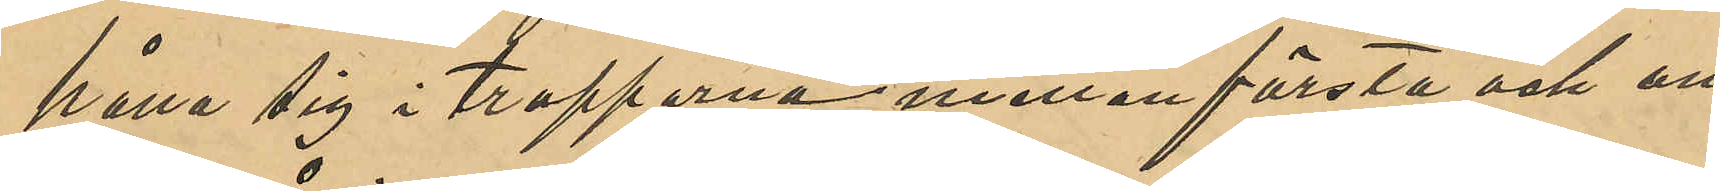hålla sig i trapporna mellan första och an¬
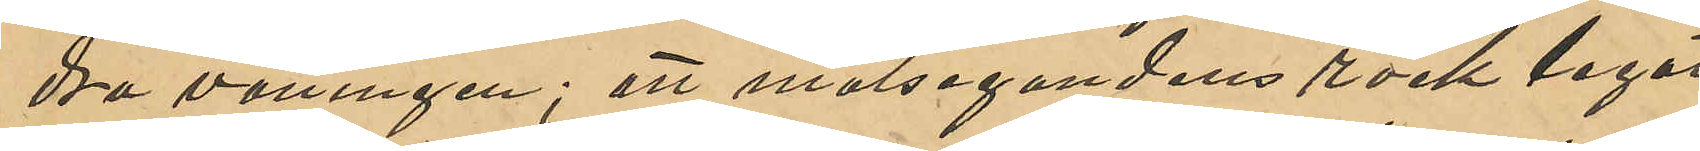dra våningen; att målegandens rock legat
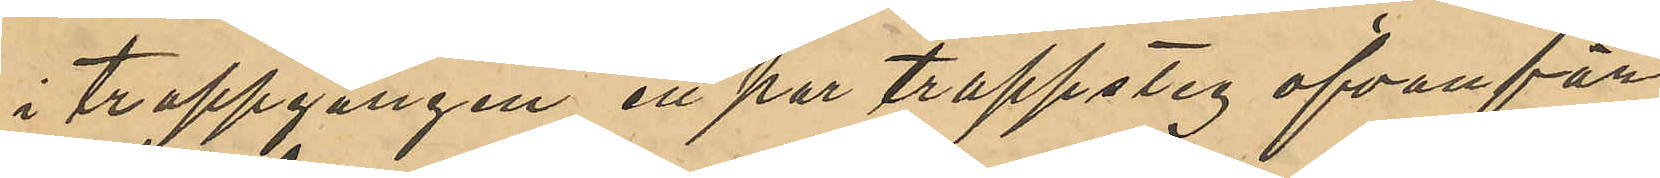i trappgången, ett par trappsteg ofvanför
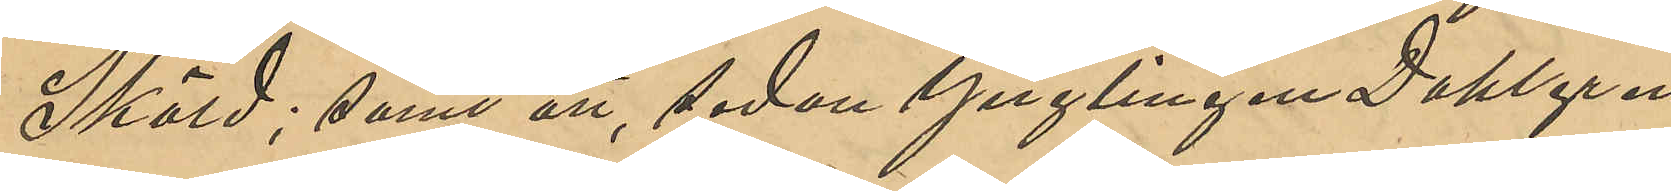Sköld; samt att, sedan Ynglingen Dahlgren
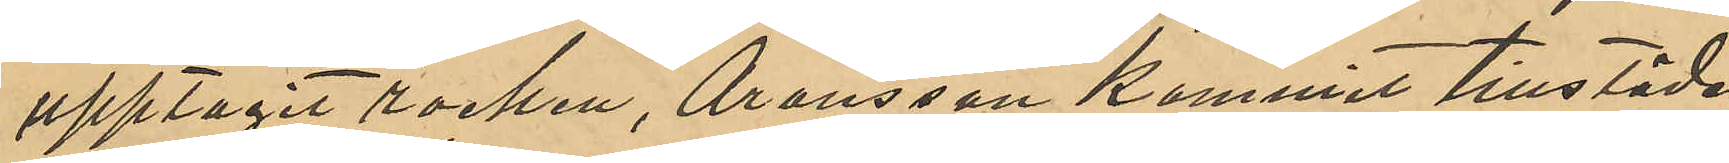upptagit rocken, Aronsson kommit tillstädes
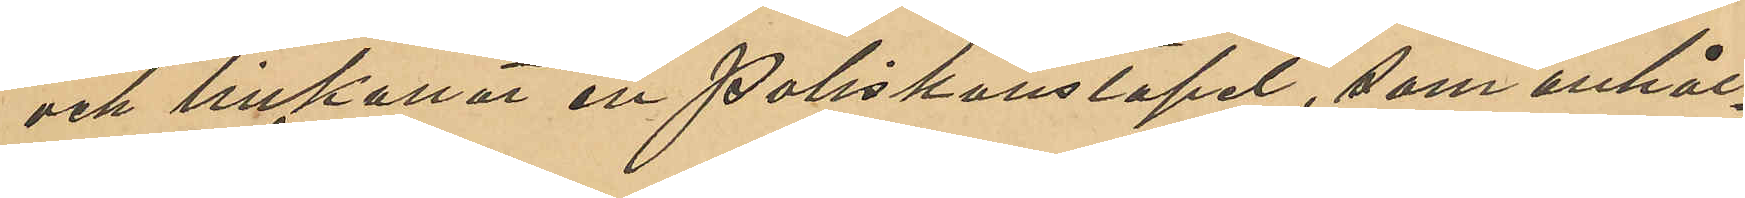och tillkallat en poliskonstapel, som anhål¬
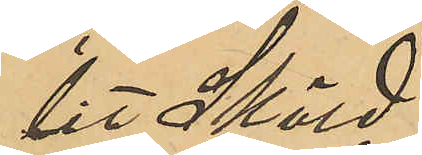lit Sköld.
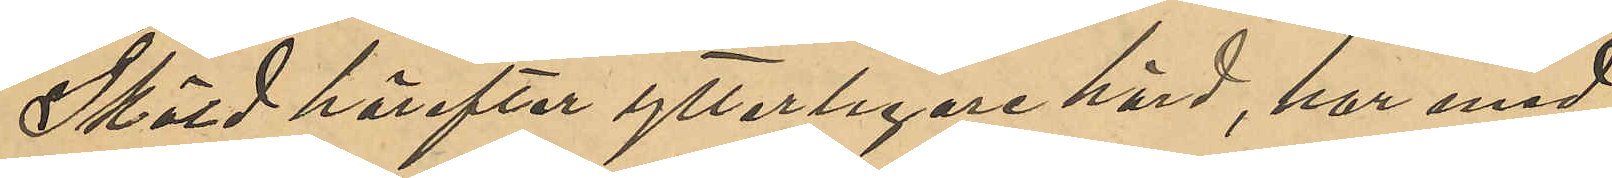Sköld härefter ytterligare hörd, har med
